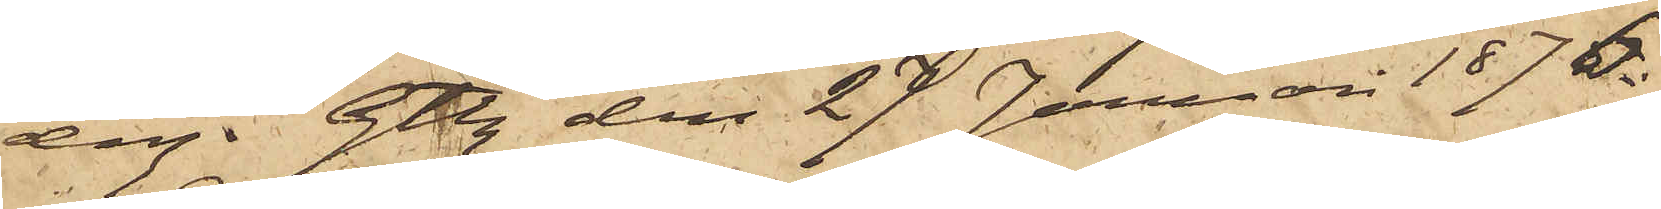dag. Gtbg den 27 Januari 1876.
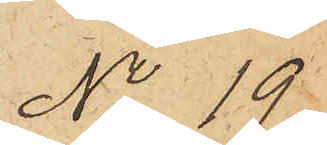No 19
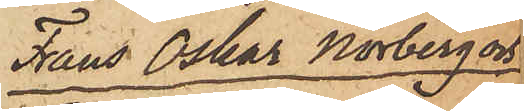Frans Oskar Norberg och
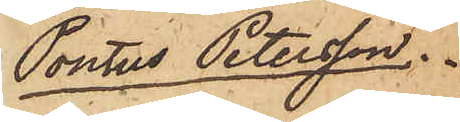Pontus Petersson.
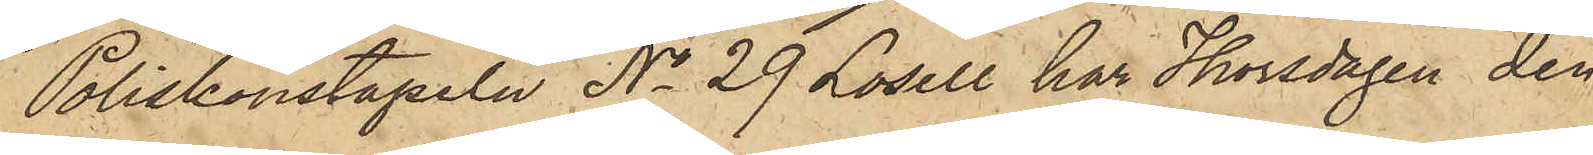Poliskonstapeln No 29 Losell har Thorsdagen den
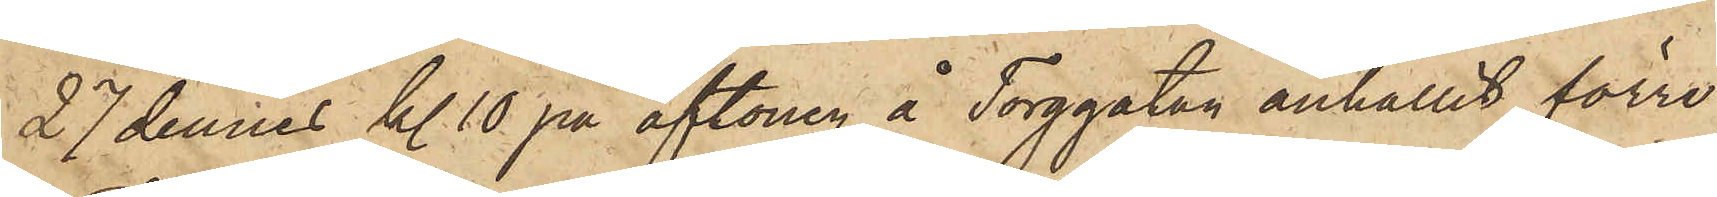27 dennes kl 10 på aftonen å Torggatan anhållit förre
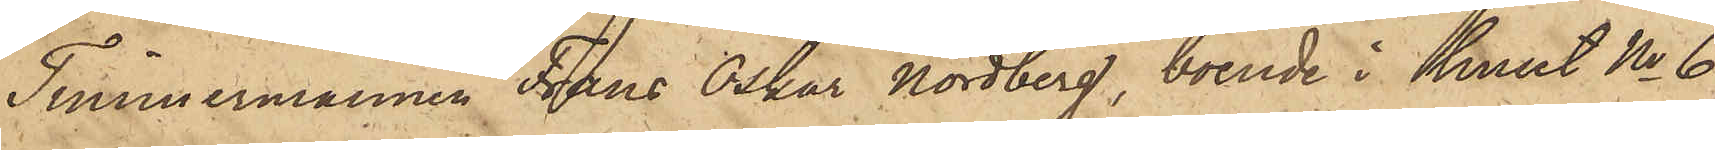Timmermannen Frans Oskar Nordberg, boende i huset No 6
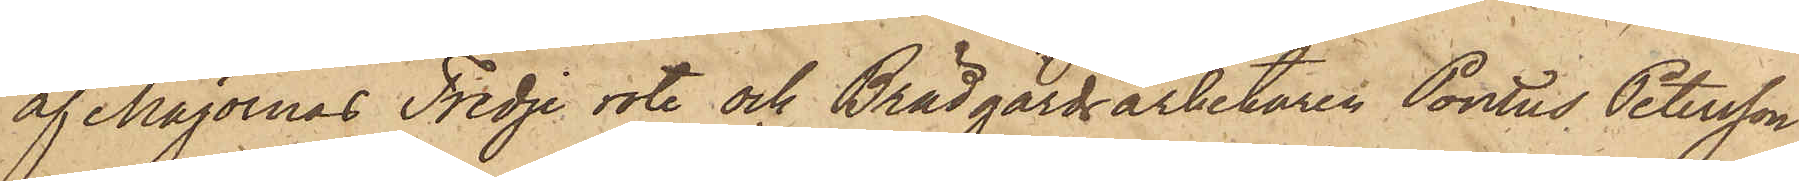af Majornas Tredje rote och Brädgårdsarbetaren Pontus Petersson
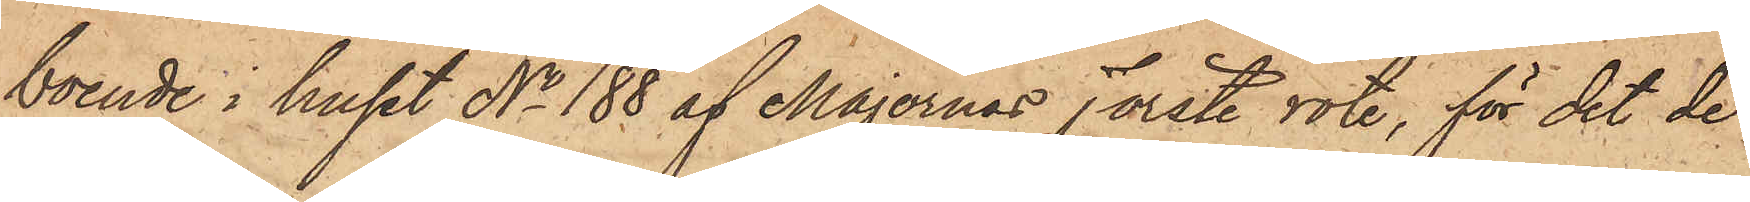boende i huset No 188 af Majornas Förste rote, för det de
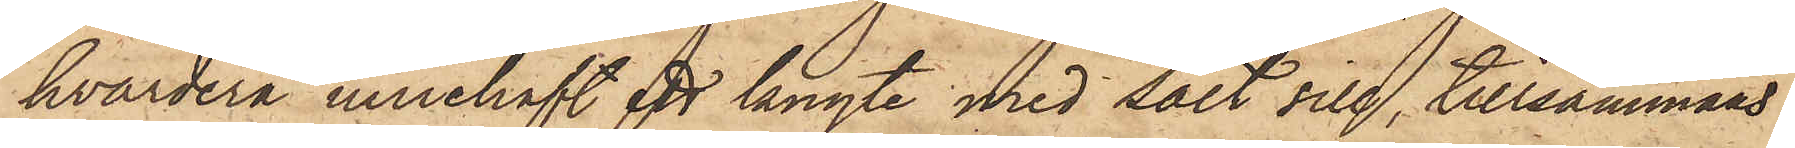hvardera innehaft ett knyte med salt sill, tillsammans
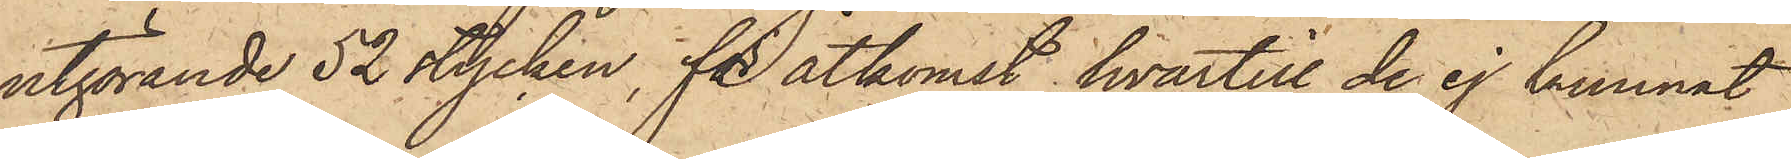utgörande 52 stycken, för åtkomst hvartill de ej kunnat
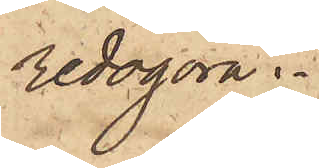redogöra.
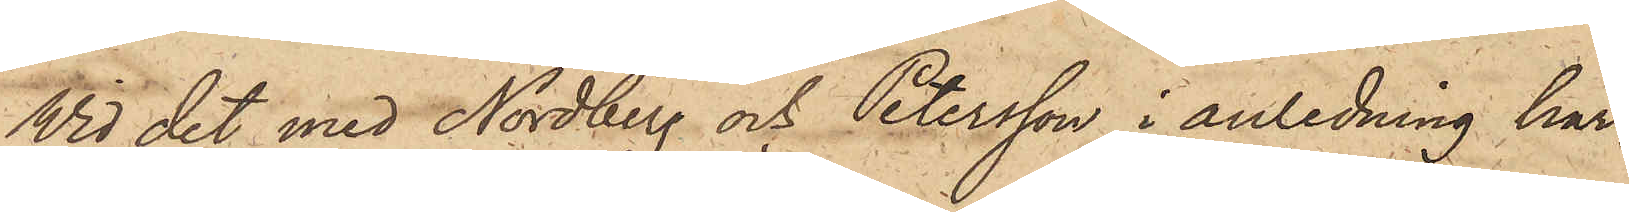Wid det med Nordberg och Petersson i anledning här¬
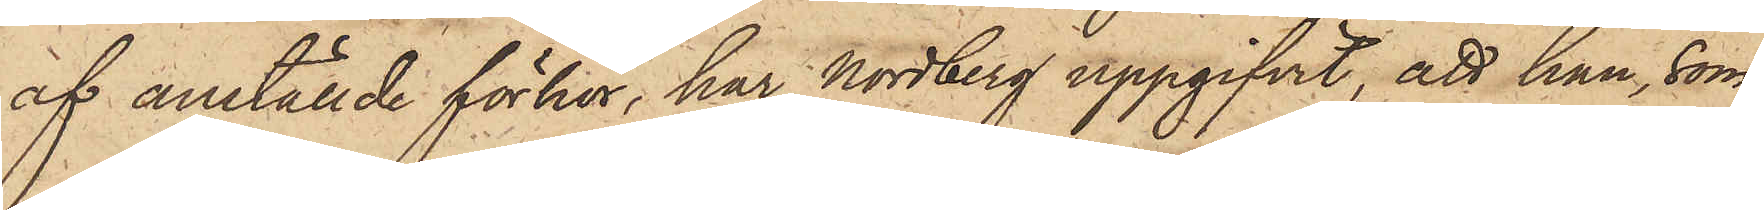af anställde förhör, har Nordberg uppgifvit, att han, som
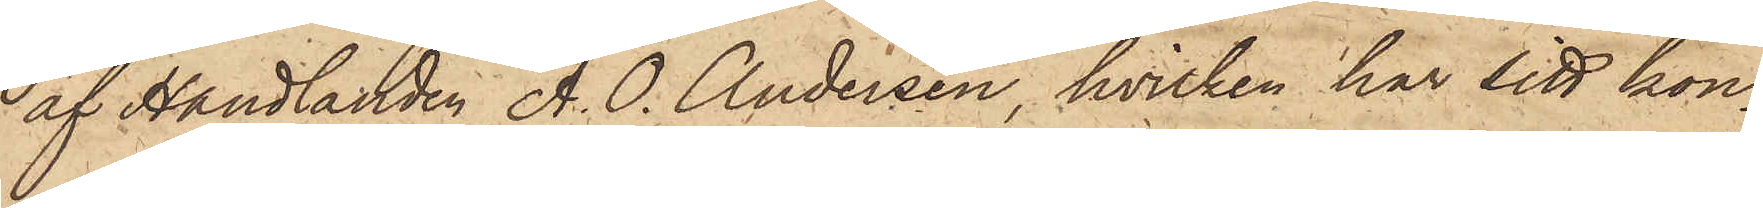af Handlanden A. O. Andersen, hvilken har sitt kon¬
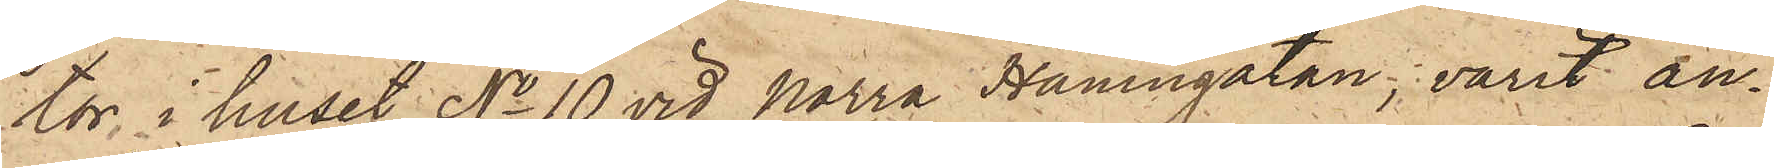tor i huset No 10 vid Norra Hamngatan, varit an¬
